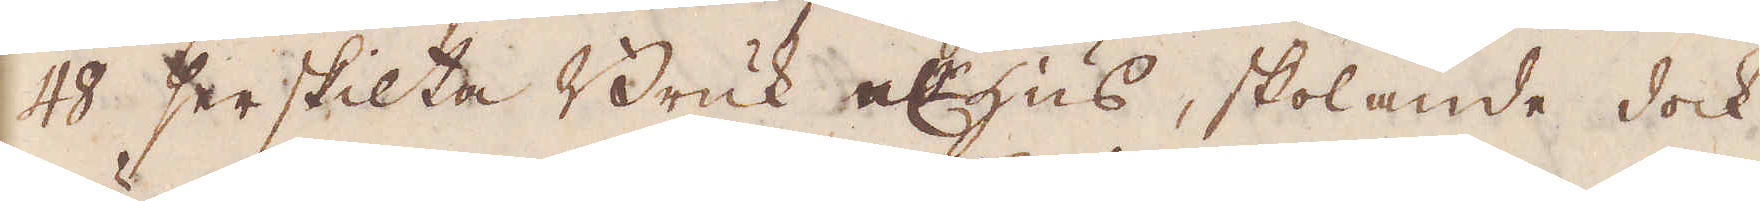48 serskilta Bruk el:r hus, skolande dock
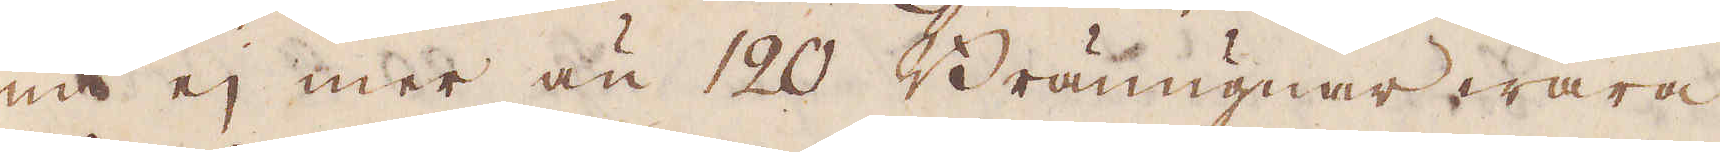nu ej mer än 120 Bränugnar wara
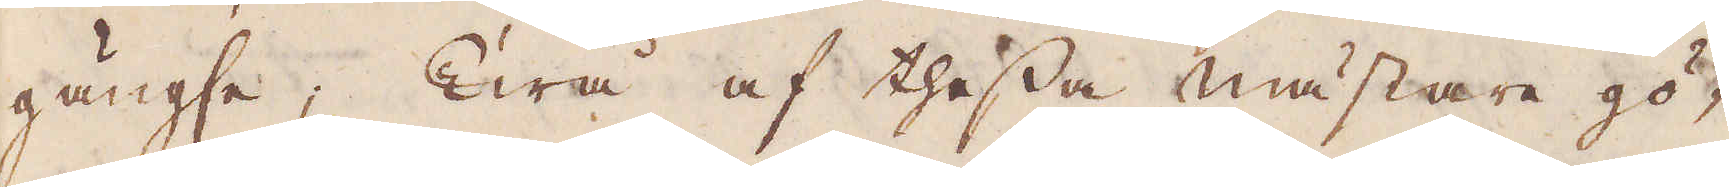gängse; Twå af thessa mästare gö-
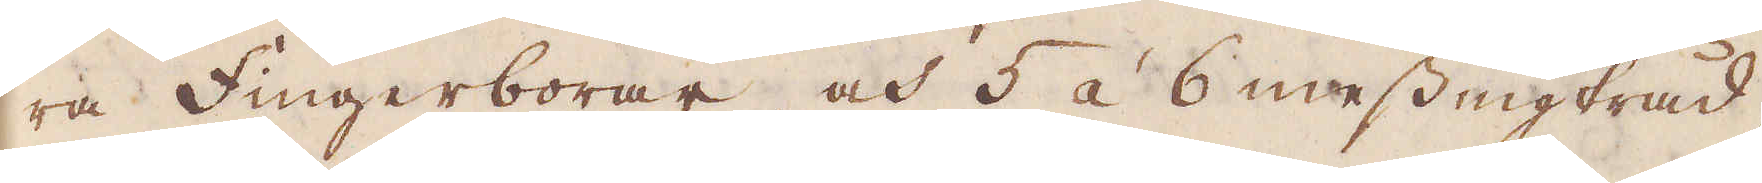ra Fingerborar, och 5 á 6 messingtråd;
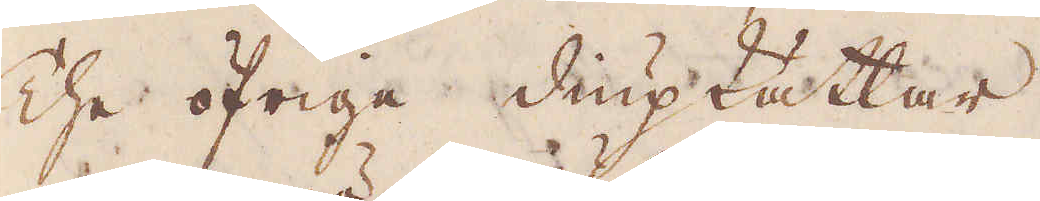The öfrige Diupkätlar.
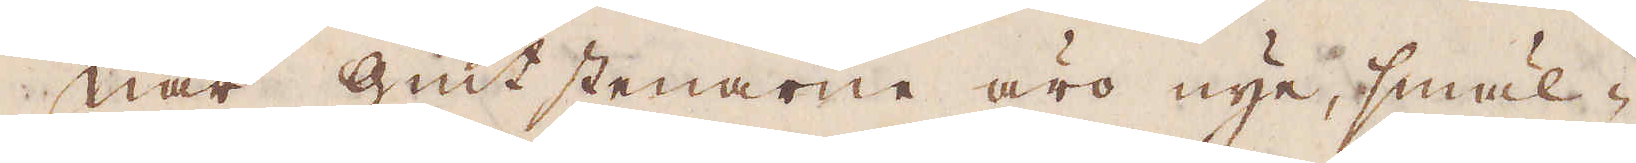När Giut stenarne äro nye, smäl-
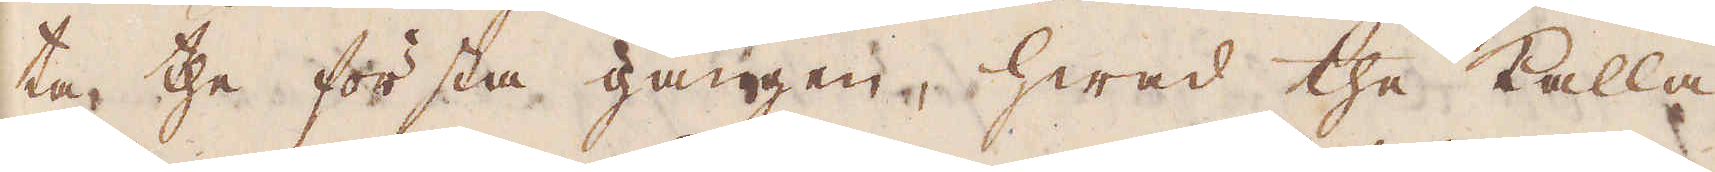ta, the första gången, hwad the kalla
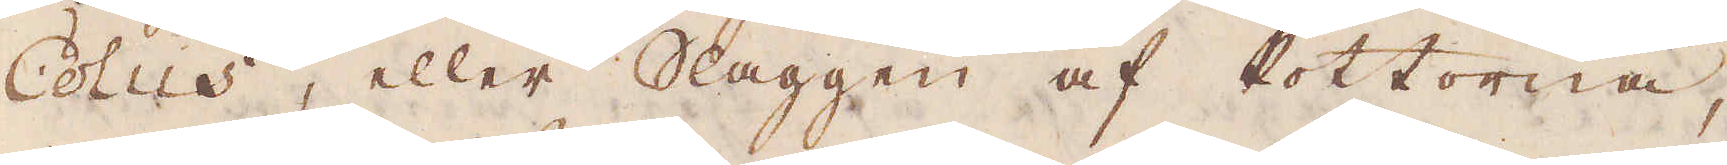Colus, eller Slaggen af Pottorna,
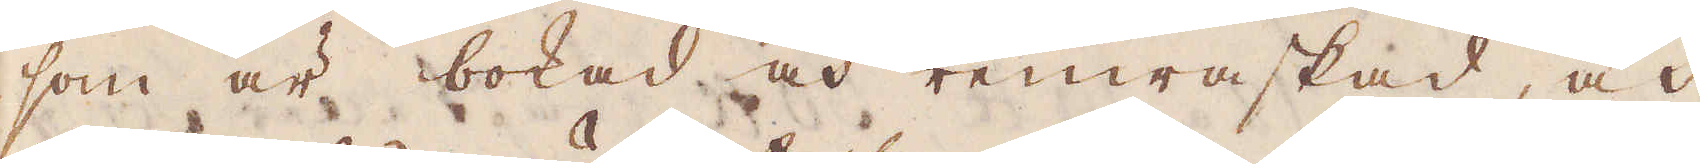som är bokad och renwaskad, och
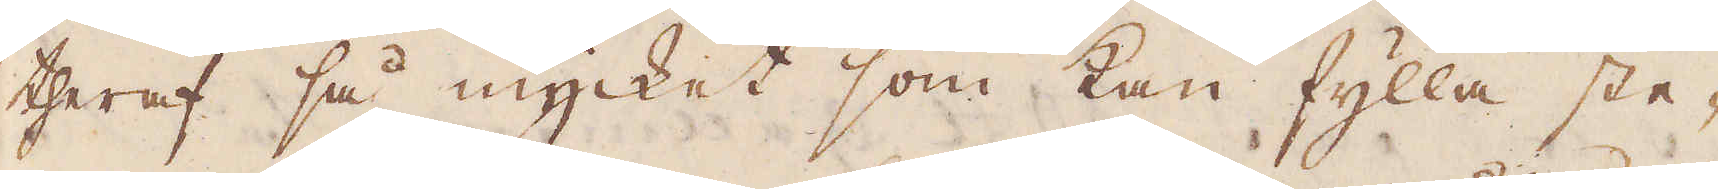theraf så mycket som kan fylla ste-
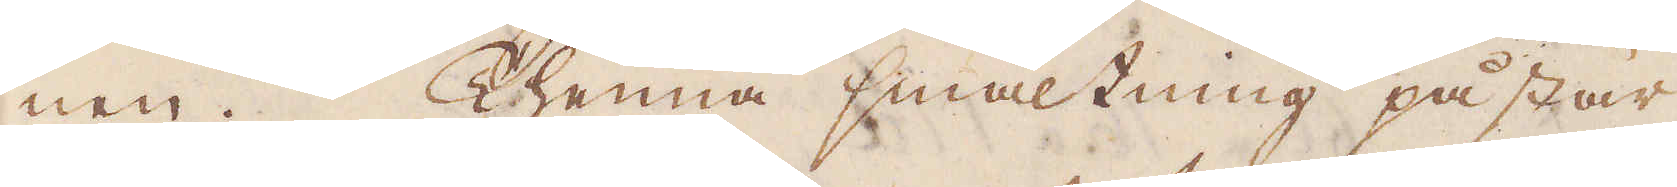nen. Thenna smältning påstår
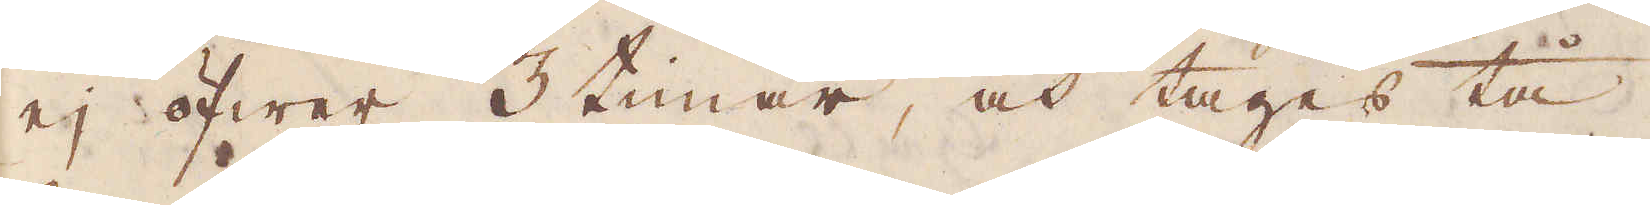ej öfwer 3 timar, och tages tå
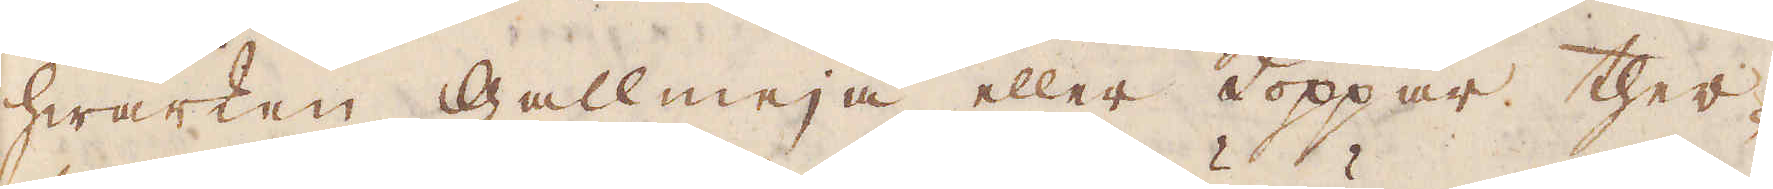hwarken gallmeja eller Koppar ther-
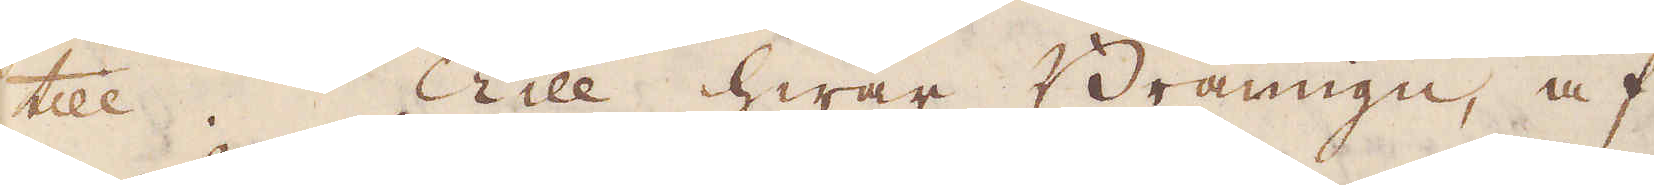till. Till hwar Bränugn, af
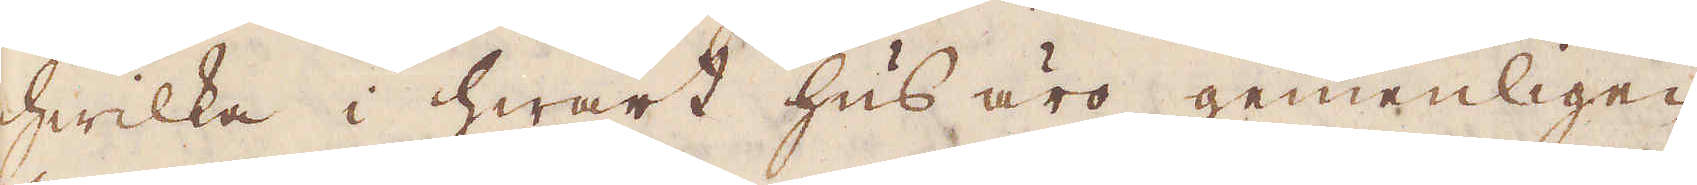hwilka i hwart hus äro gemenligen
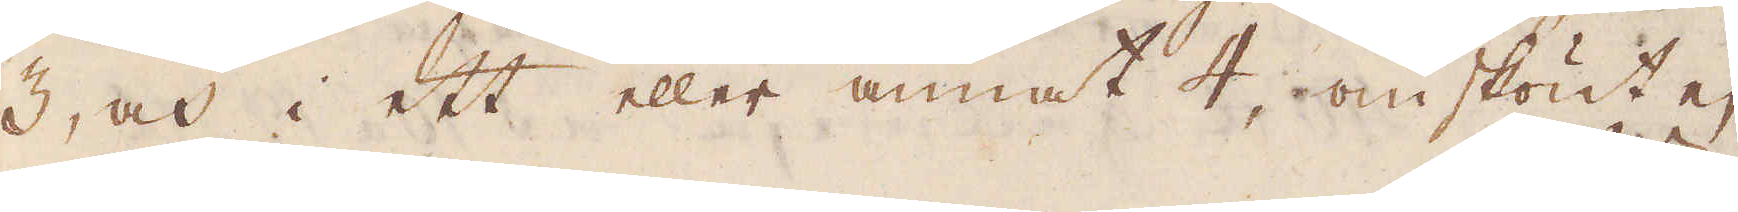3, och i ett eller annat 4, omskönt ej
